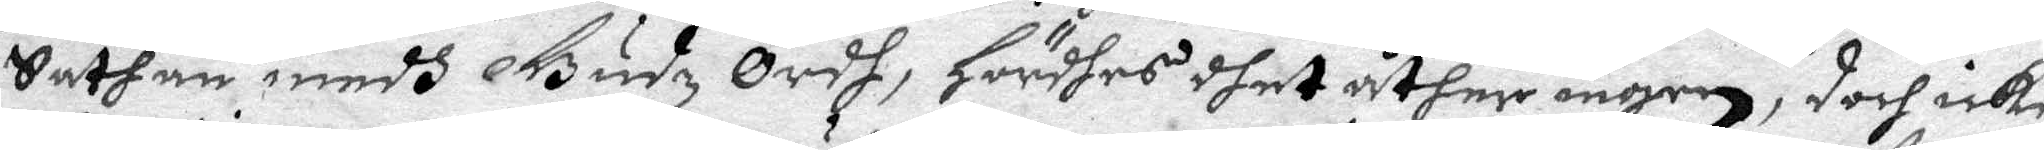Sathan medh Gudz Ordh, hördhes dhet åther ingen, doch icke
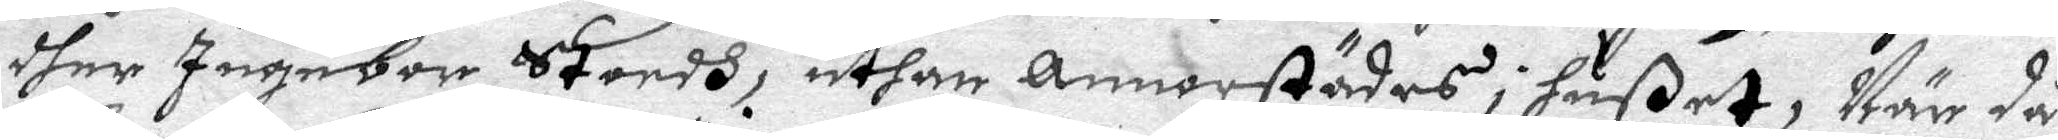dher Ingebor Stoodh, uthan Annorstädes i hußet, När då
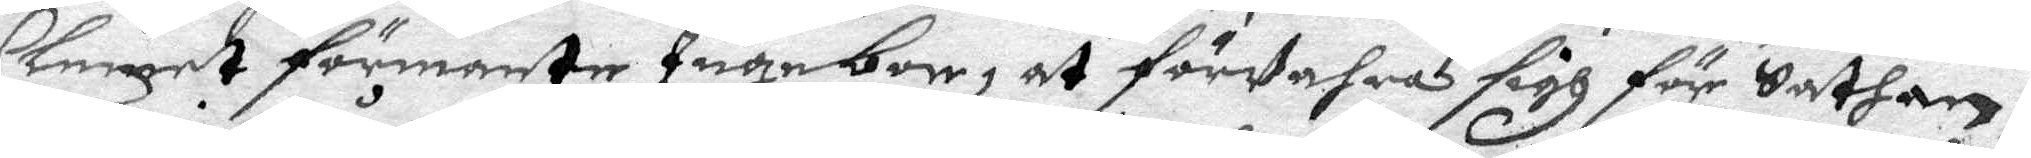Clemet förmante Ingebor, at förVara sigh för Sathan,
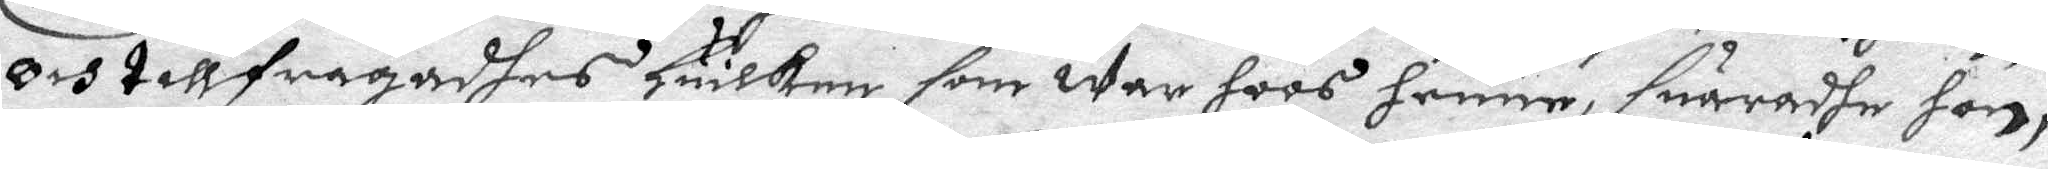och tillfrågadhes Huilken som war hoos henne, suaradhe hon
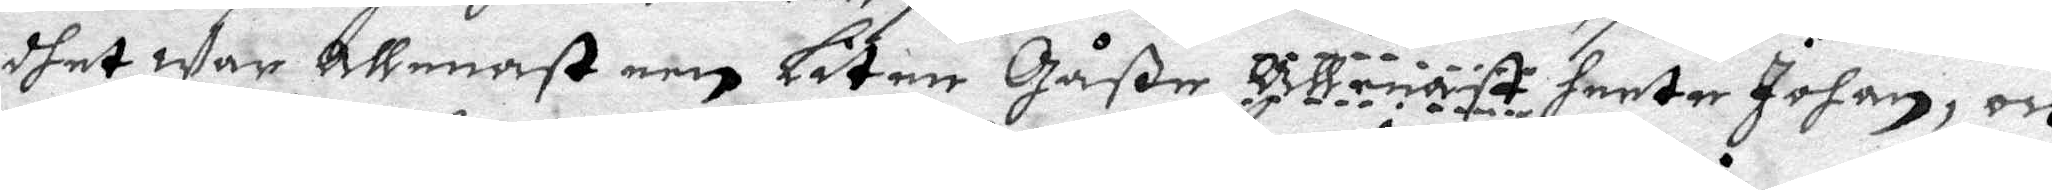dhet war Allenast een Liten gåße allenast heeter Johan, och
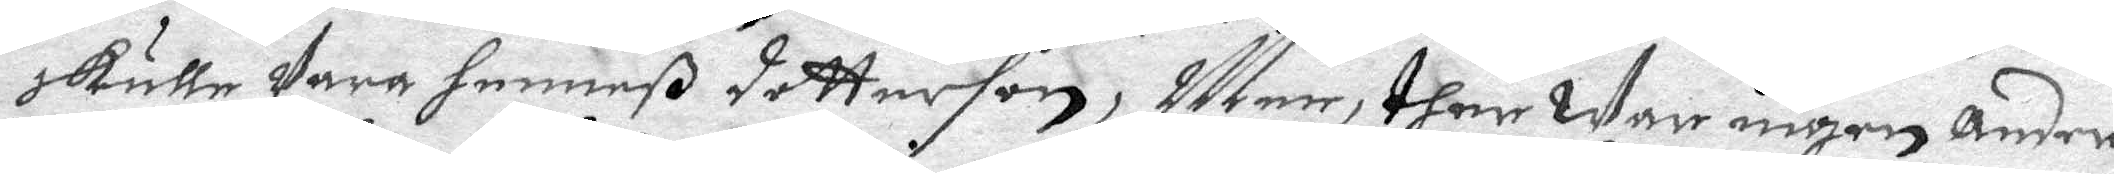skulle Vara henneß dotterson, Men, ther war ingen andre
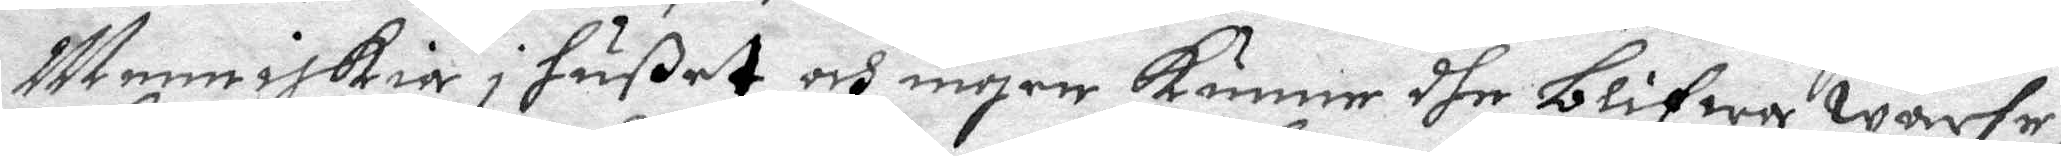Menniskia i hußet och ingen kunne dhe Blifwa warhe,
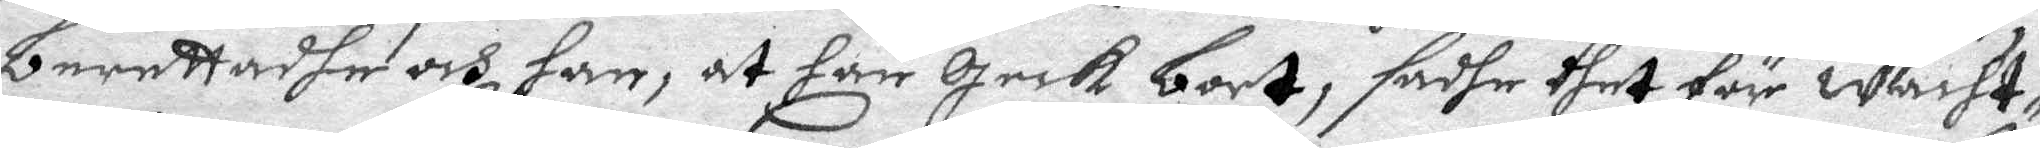berettadhe och han, at han geck bort, sadhe dhet för wächt¬
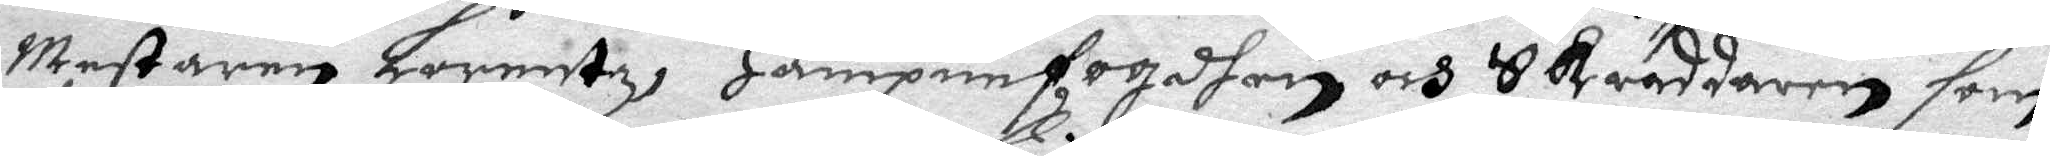mestaren Lorentz, Hanpnefogdhen och Skräddaren som
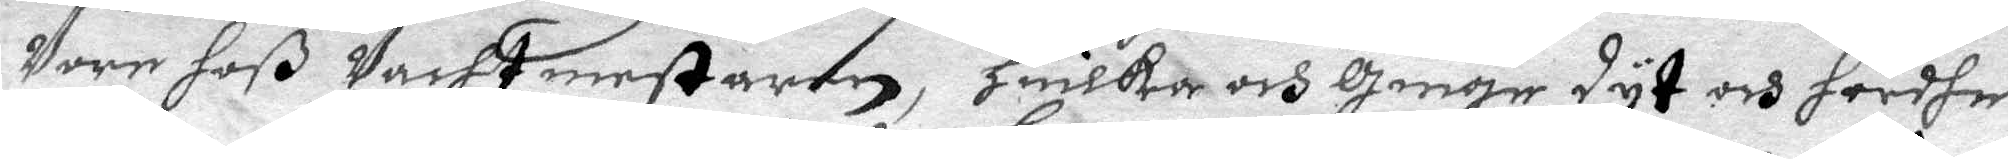Vore hoß Vachtmestaren, Huilka och gingo dyt och hördhe
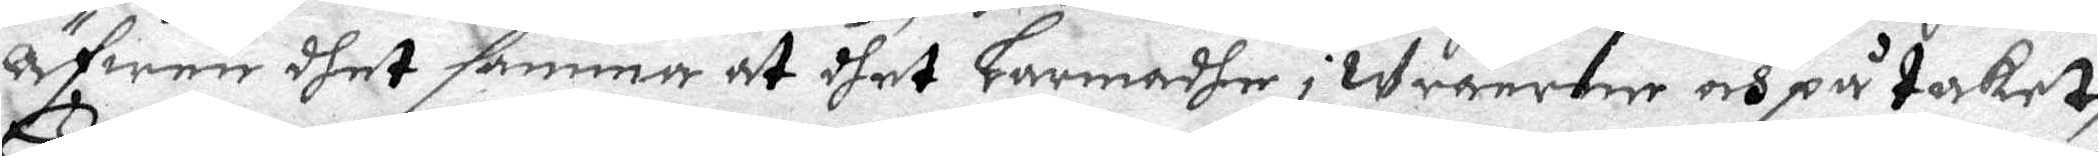Äfwen dhet samma at dhet Larmadhe i wränrne och på taket,
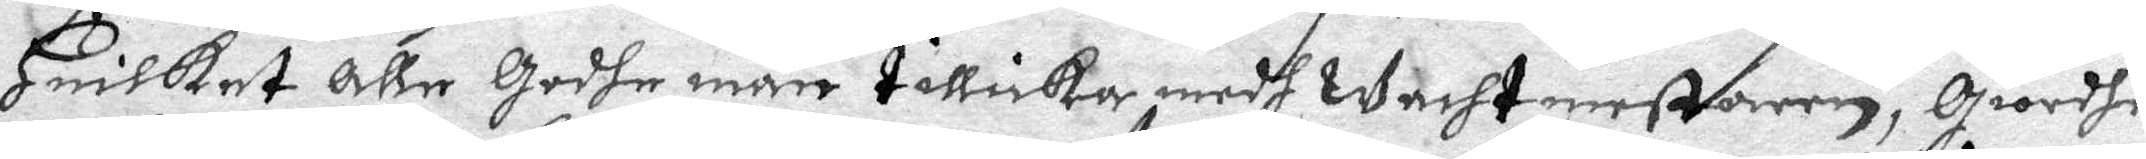Huilket alle godhe män tillika medh wachtmestaren, giordhe
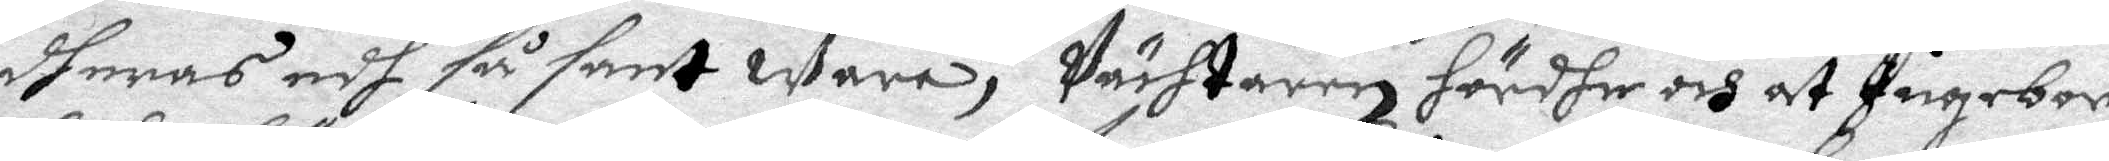dheras edh så sant wara, Vächtaren hördhe och at Ingebor
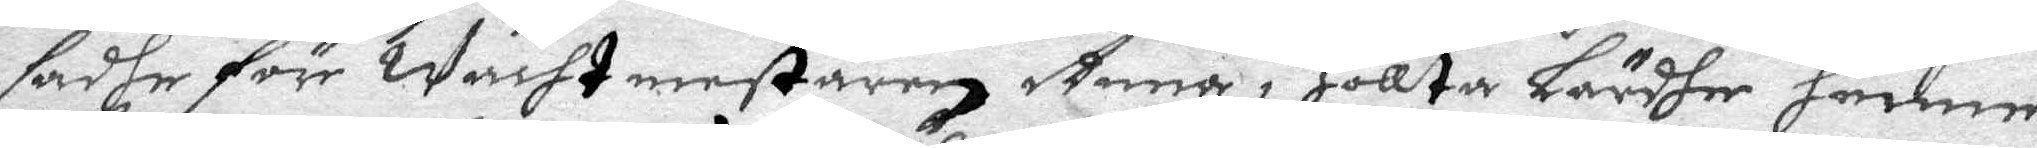sadhe för wachtmestaren Anna i Hollta Lärdhe henne
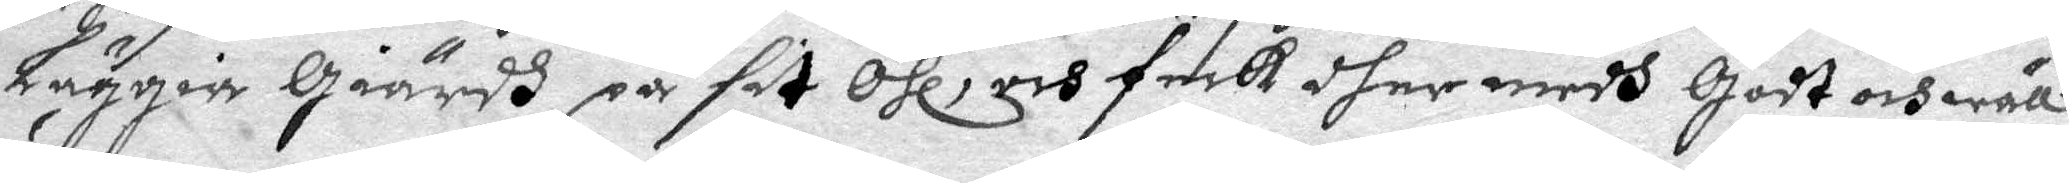Läggia giärdh på sit Öhl, och feck dher medh godt och wäll
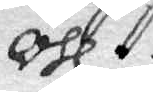Öhl.
